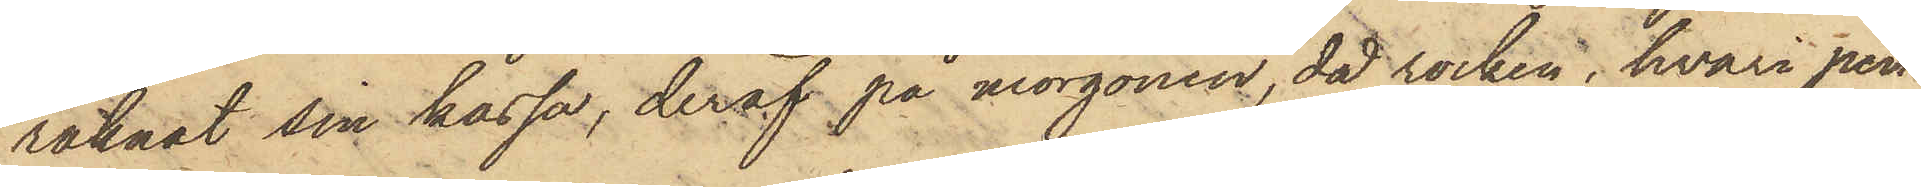räknat sin kassa, deraf på morgonen, då rocken, hvari pen¬
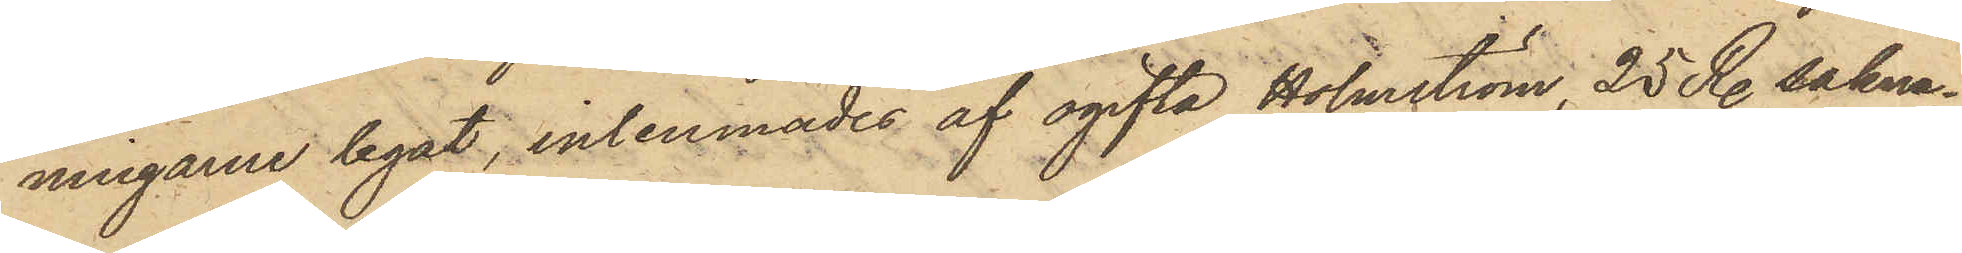ningarne legat, inlemnades af ogifta Holmström, 25 R. sakna¬
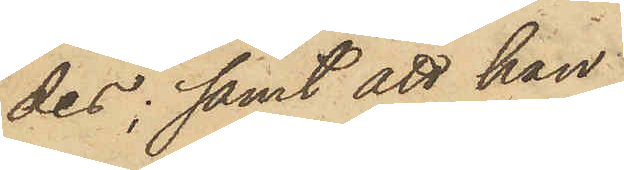des; samt att han
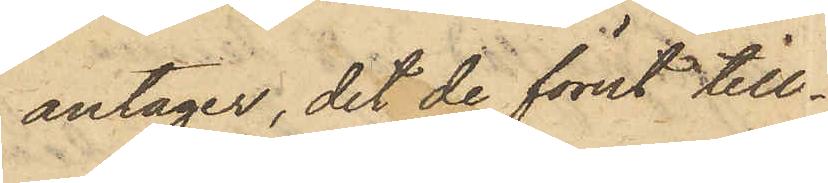antager, det de förut till¬
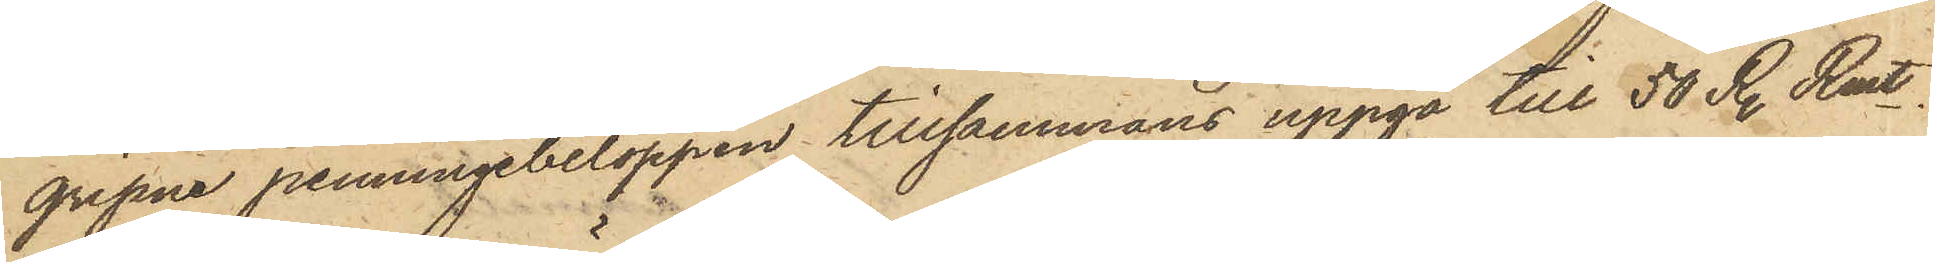gripne penningbeloppen tillsammans uppgå till 50 R. Rmt,
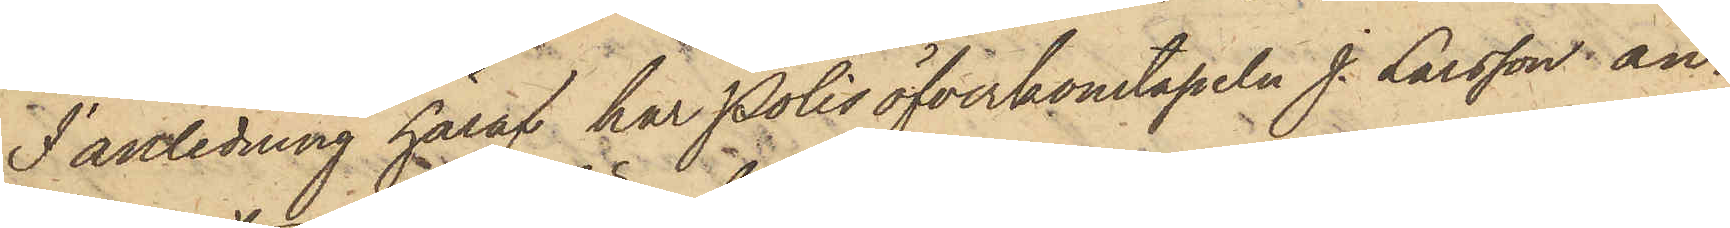I anledning häraf har Polisöfverkonstapeln J. Larsson an¬
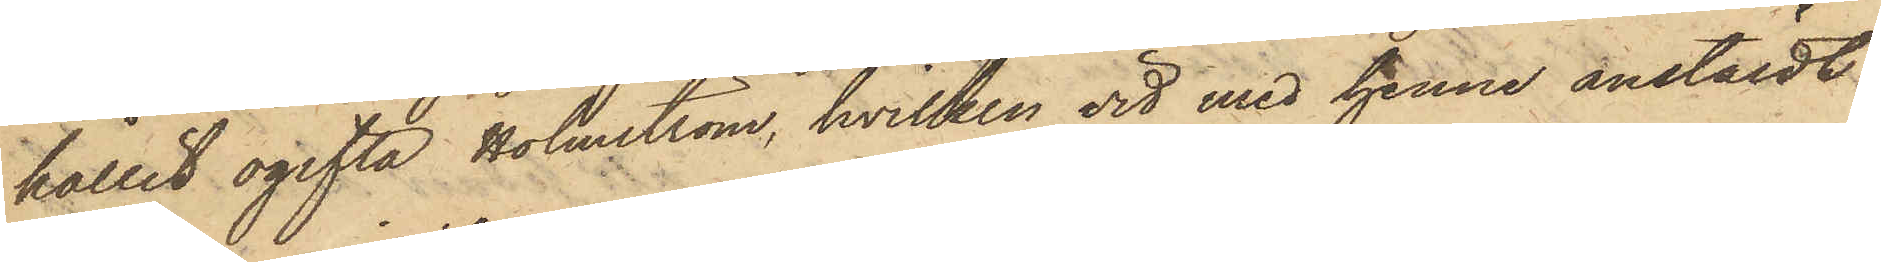hållit ogifta Holmström, hvilken vid med henne anstäldt
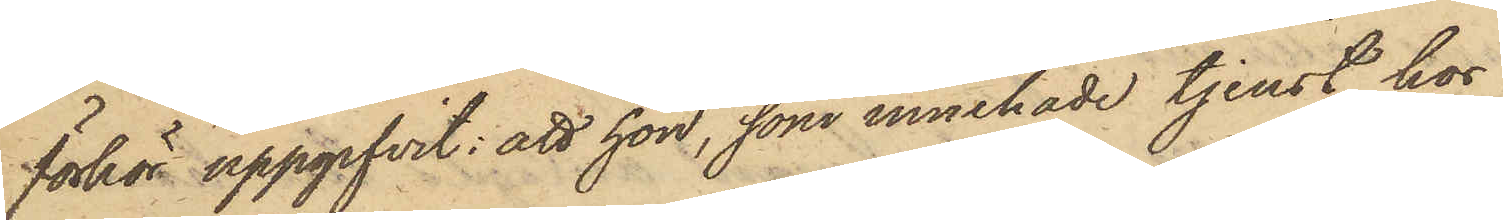förhör uppgifvit: att hon, som innehade tjenst hos
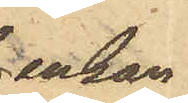enkan
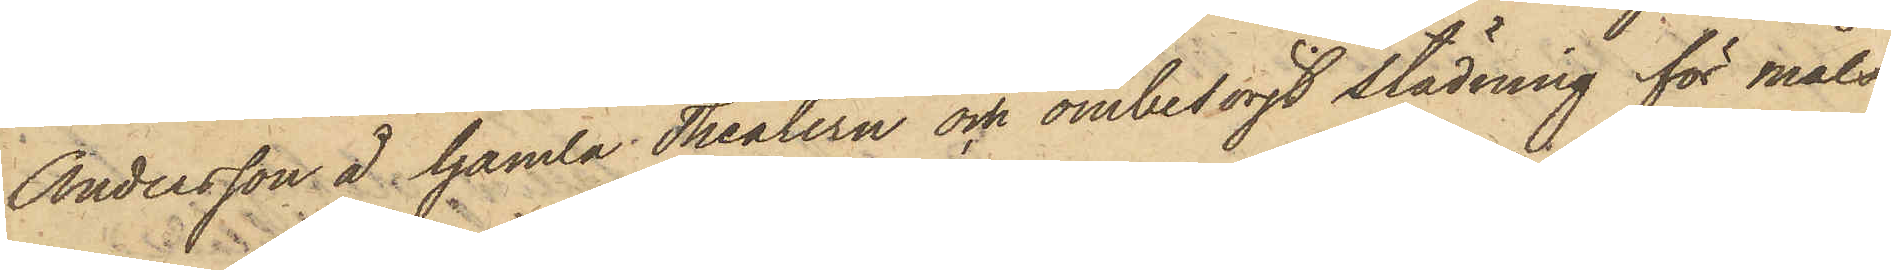Andersson å Gamla Theatern och ombesörjt städning för måls¬
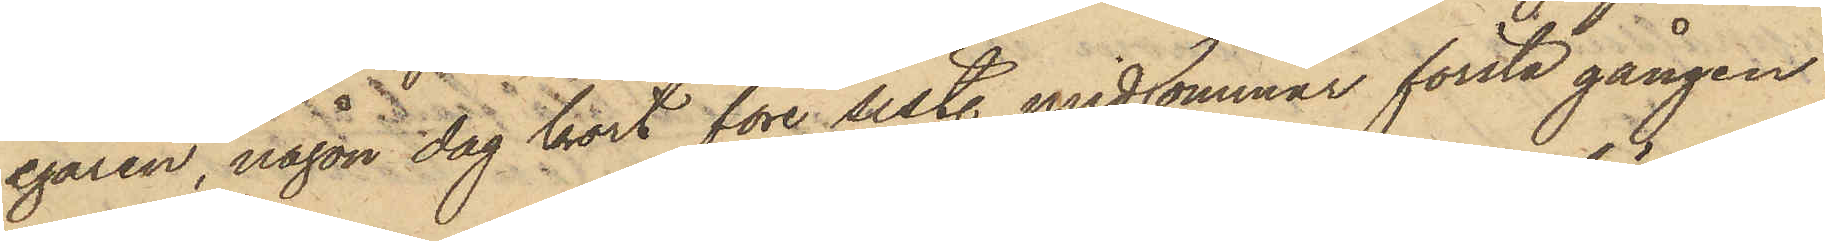egaren, någon dag kort före sistl. midsommar första gången
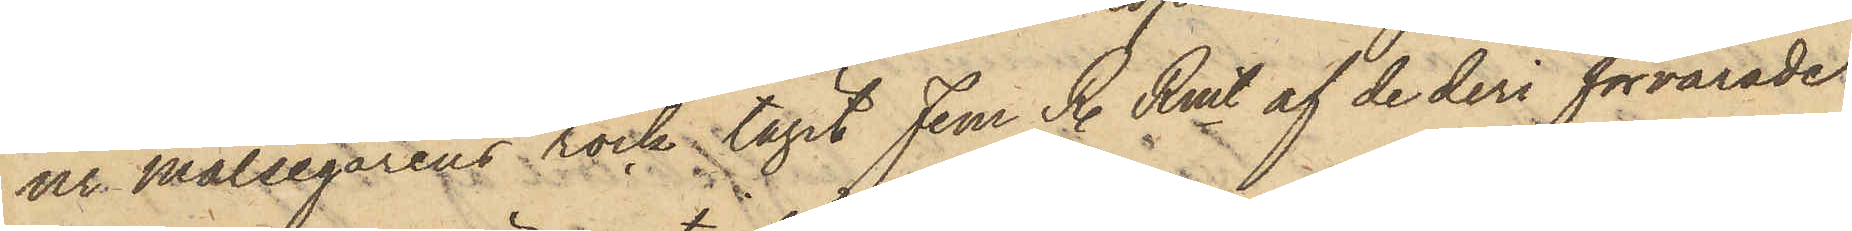ur Målsegarens rock tagit Fem R. Rmt af de deri förvarade
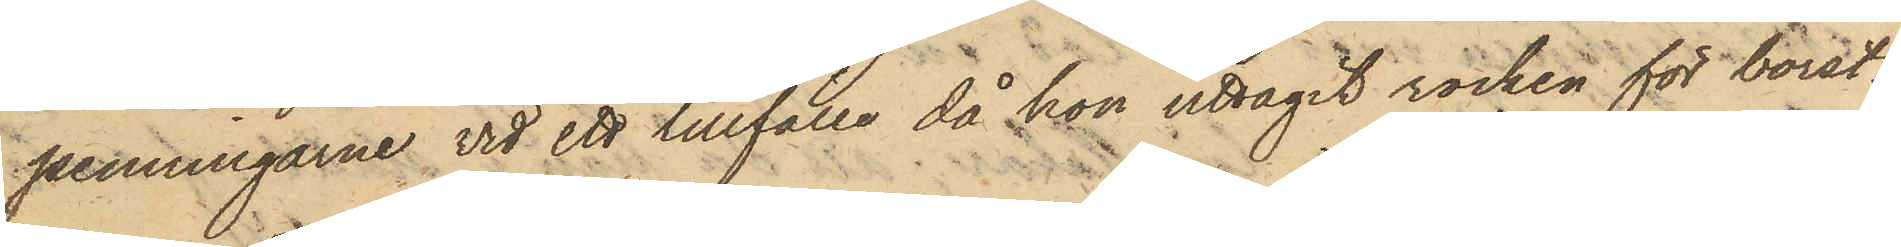penningarne vid ett tillfälle då hon uttagit rocken för borst¬
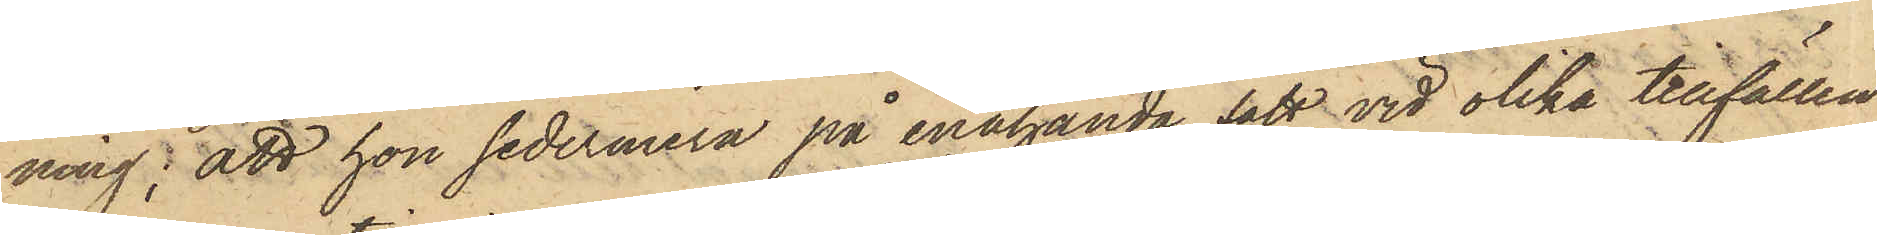ning; att hon sedermera på enahanda sätt, vid olika tillfällen
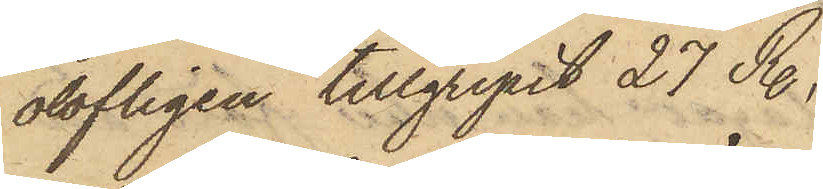olofligen tillgripit 27 R.,
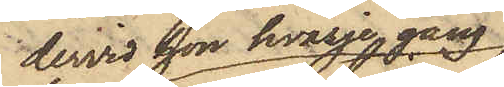dervid hon hvarje gång
